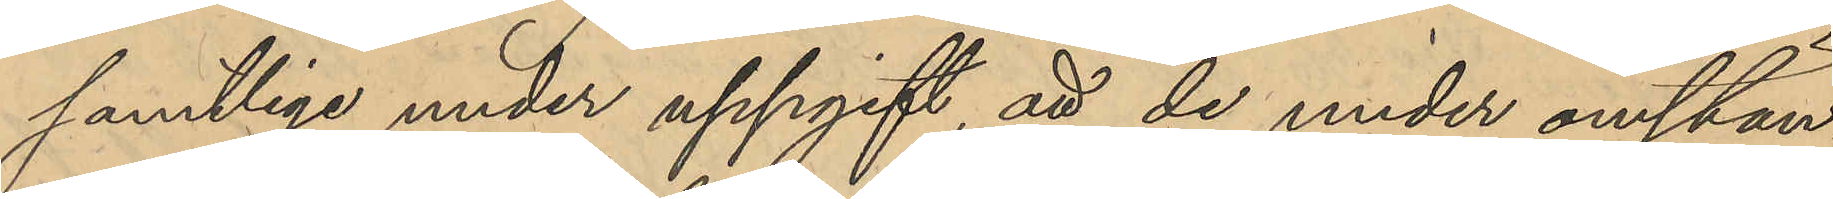samtliga under uppgift, att de under omstän¬
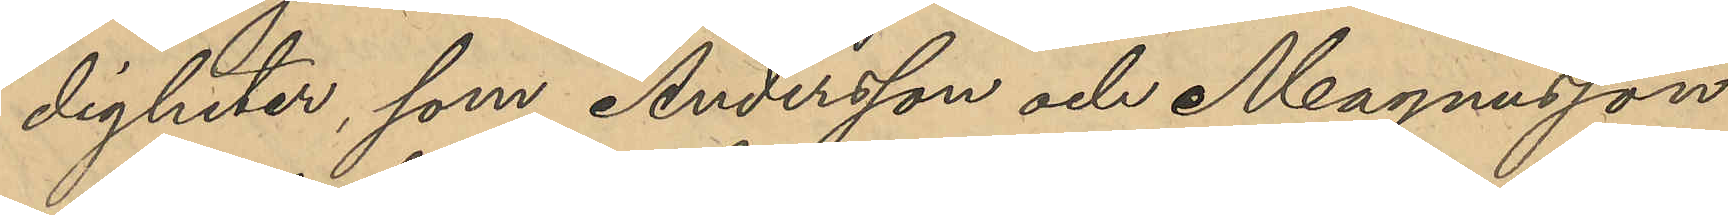digheter, som Andersson och Magnusson
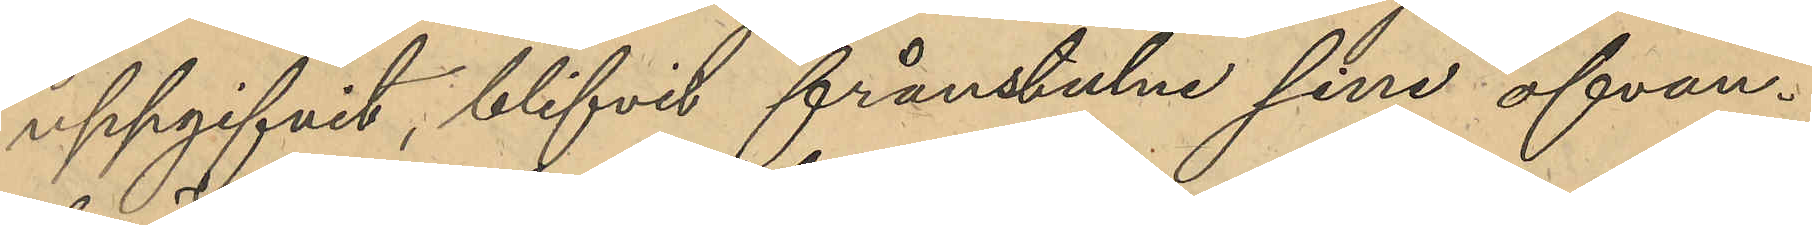uppgifvit, blifvit frånstulne sina ofvan¬
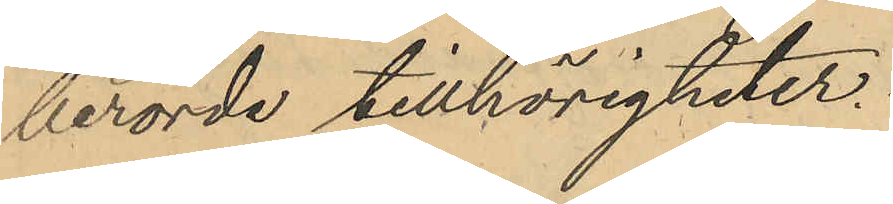berörde tillhörigheter.
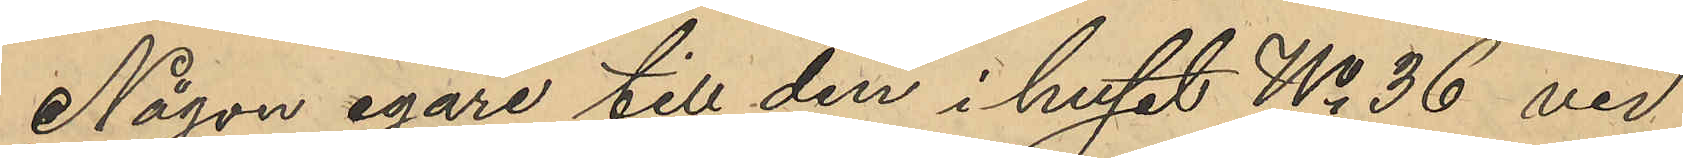Någon egare till den i huset No 36 vid
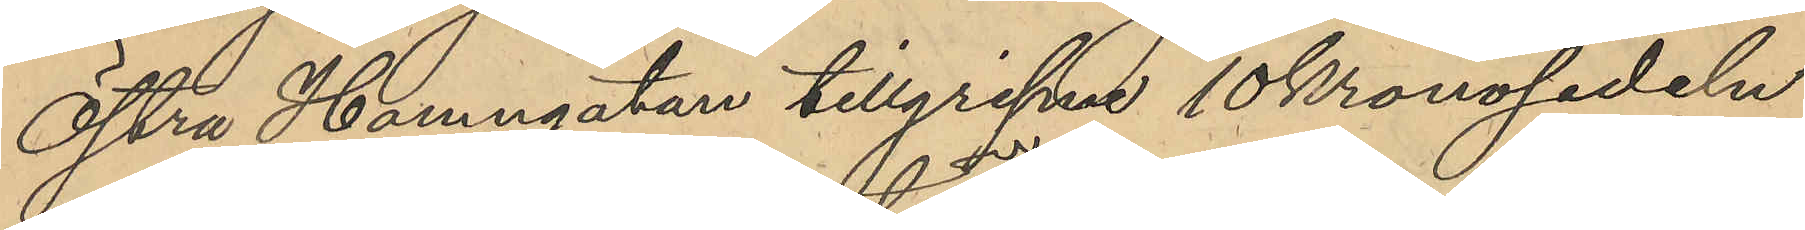Östra Hamngatan tillgripne 10Kronosedeln
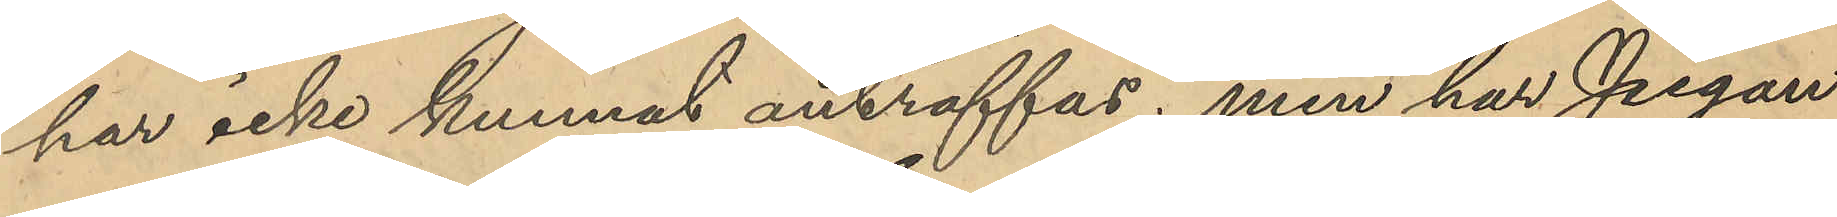har icke kunnat anträffas; men har Pigan
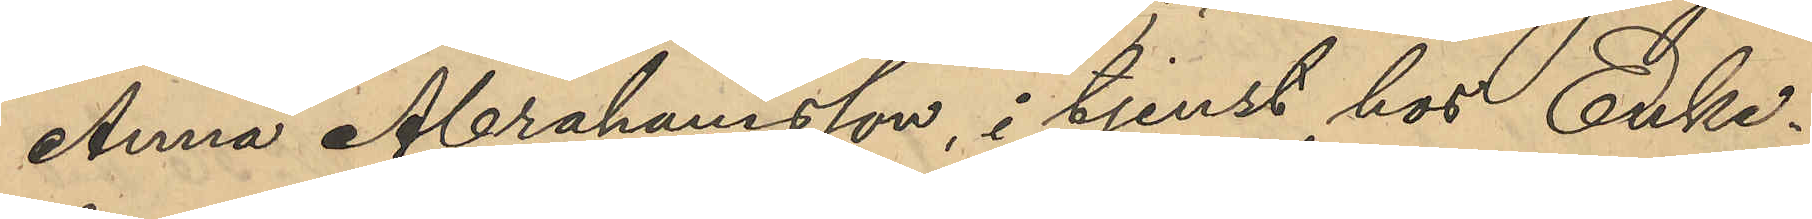Anna Abrahamsson, i tjenst hos Enke¬
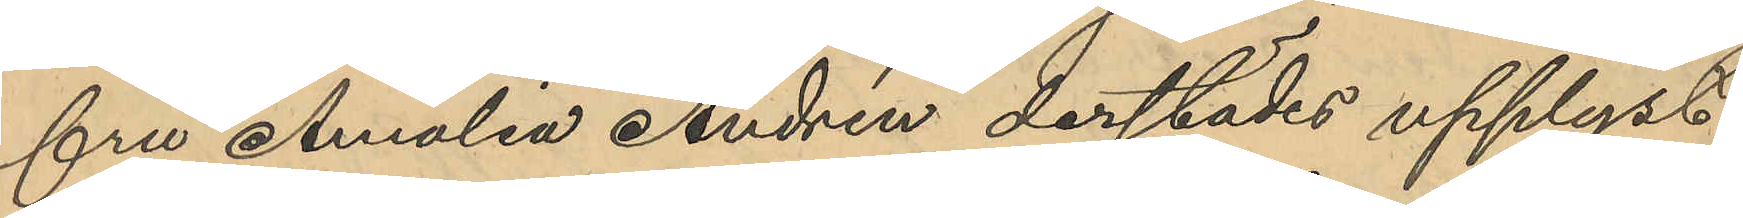fru Amalia Andrén derstädes upplyst,
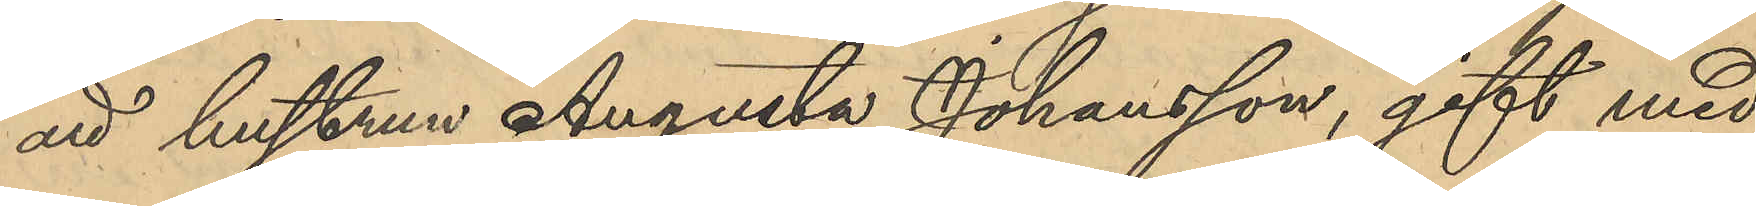att hustrun Augusta Johansson, gift med
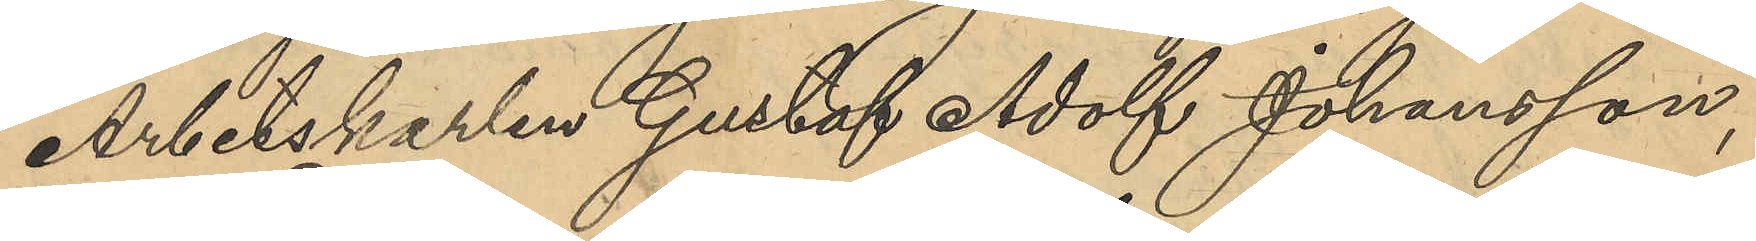Arbetskarlen Gustaf Adolf Johansson,
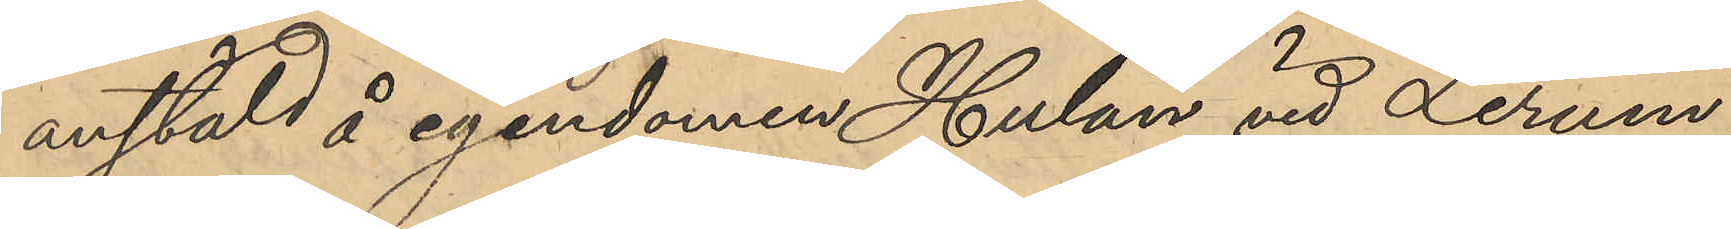anstäld å egendomen Hulan vid Lerum,
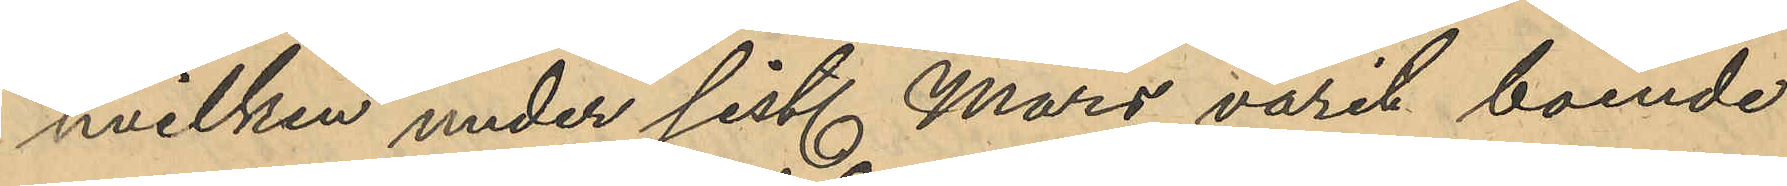hvilken under sist. Mars varit boende
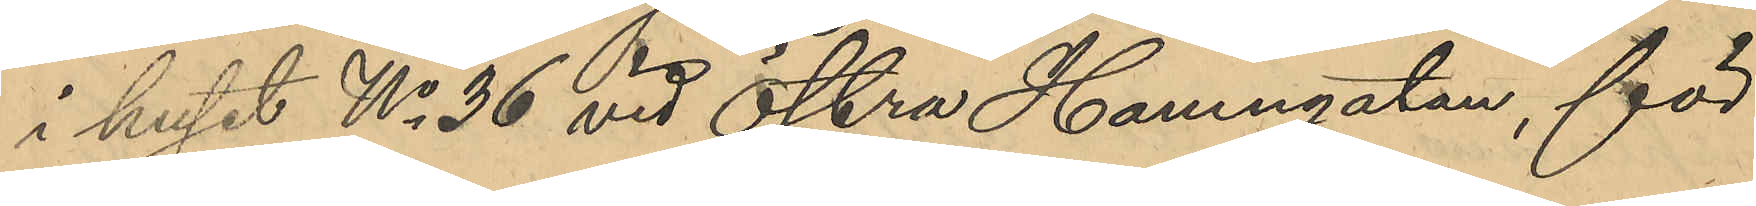i huset No 36 vid Östra Hamngatan, för
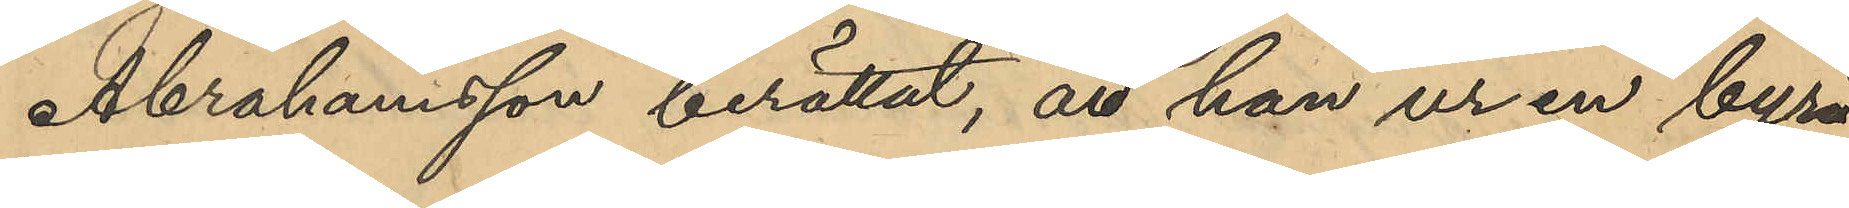Abrahamsson berättat, att han ur en byrå
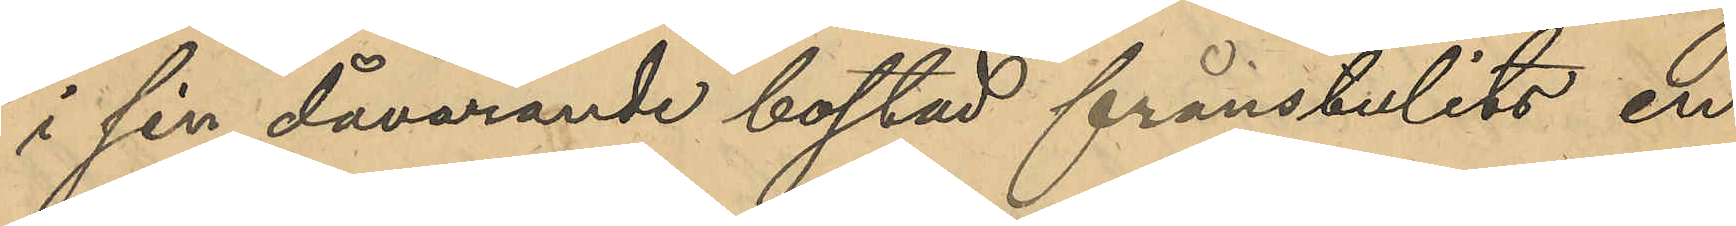i sin dåvarande bostad frånstulits en
